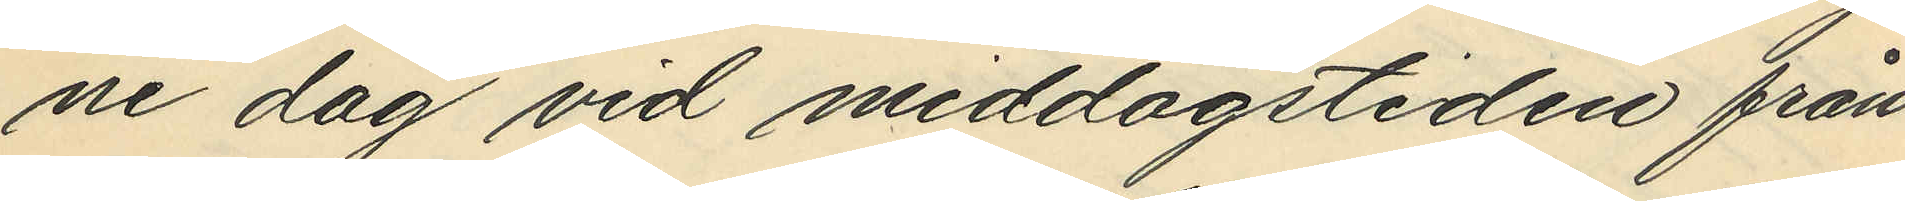ne dag vid middagstiden från
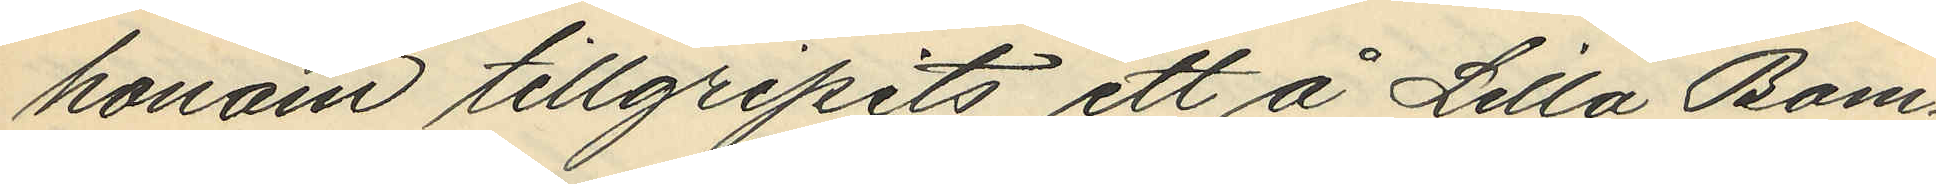honom tillgripits ett å Lilla Bom¬
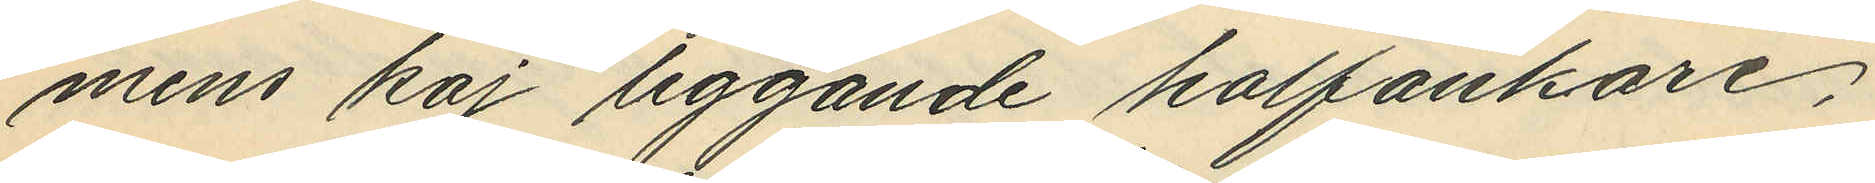mens kaj liggande halfankare,
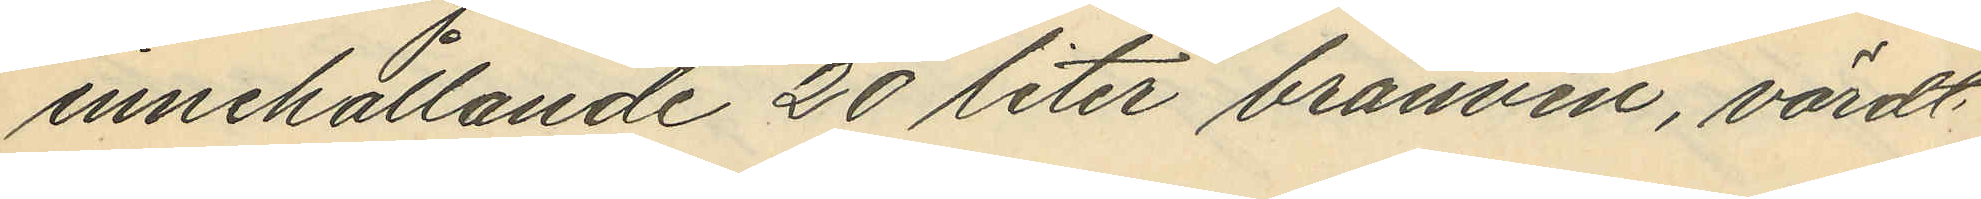innehållande 20 liter bränvin, värdt
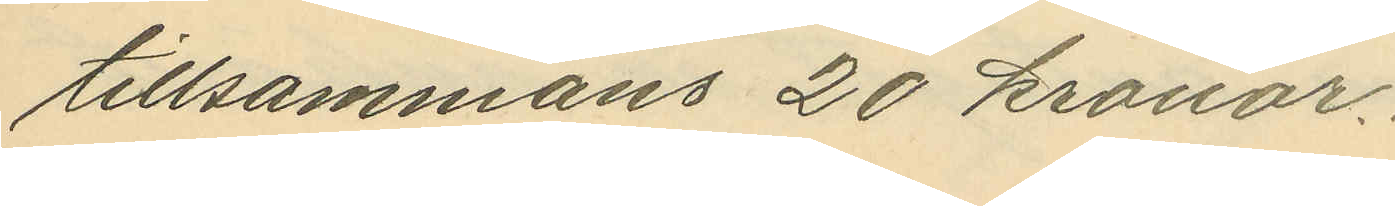tillsammans 20 kronor.
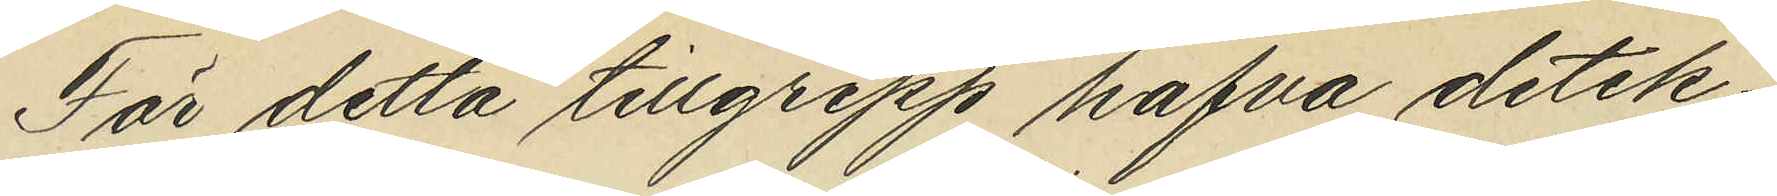För detta tillgrepp hafva detek¬
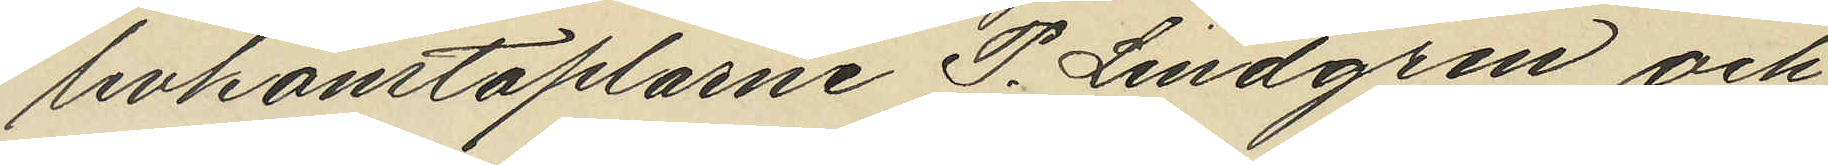tivkonstaplarne P. Lindgren och
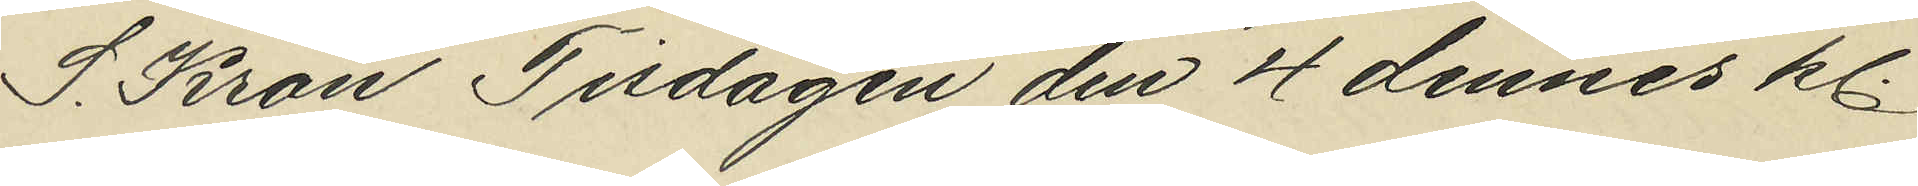S. Kron Tisdagen den 4 december dennes kl.
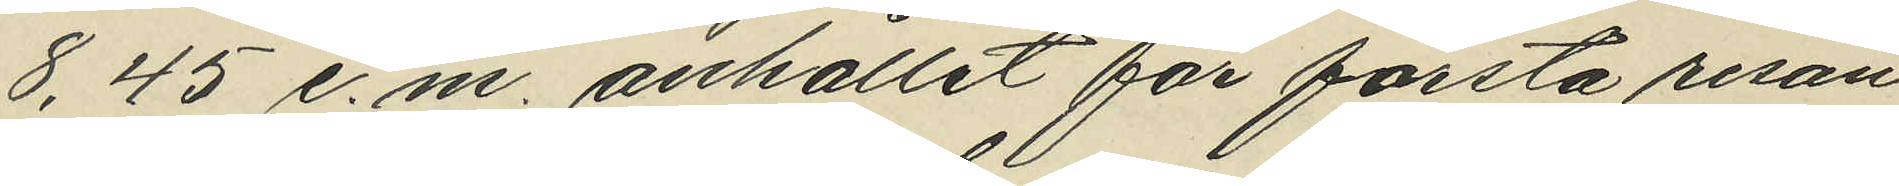8,45 e.m. anhållit för första resan
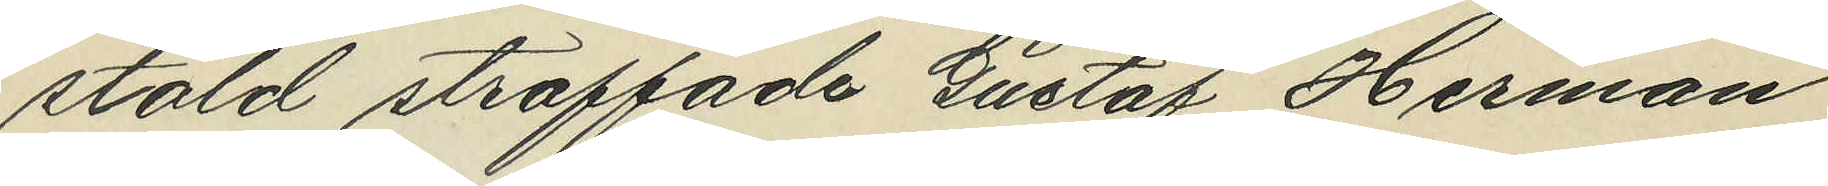stöld straffade Gustaf Herman
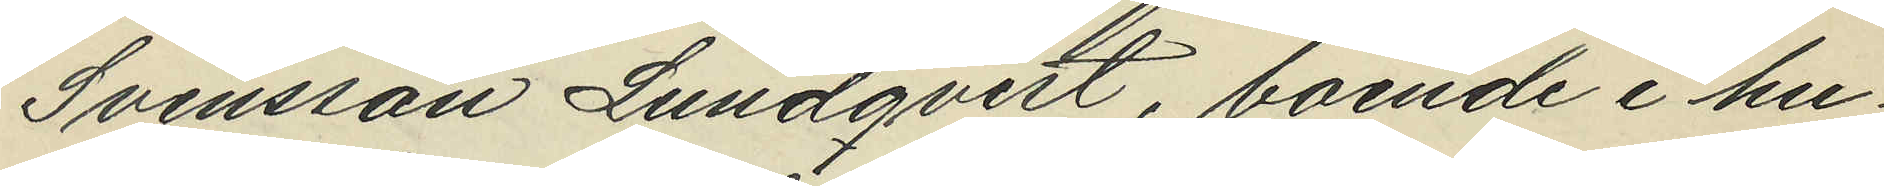Svensson Lundqvist, boende i hu¬
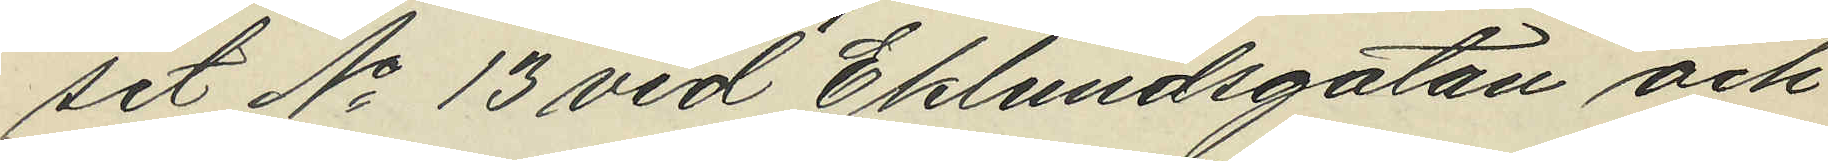set No 13 vid Eklundsgatan och
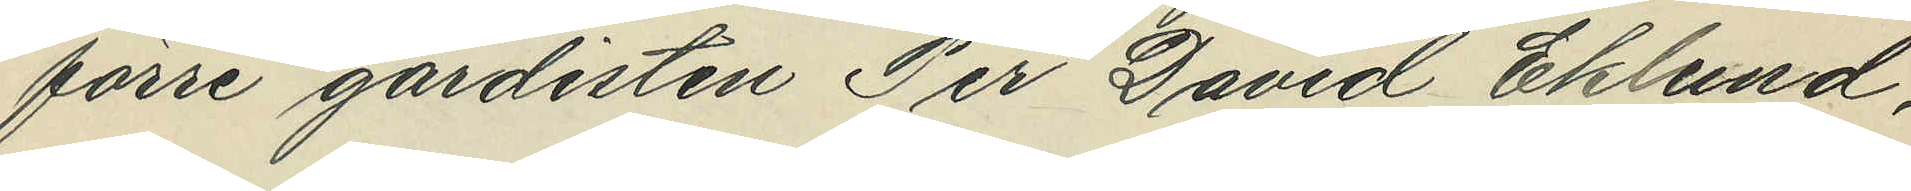förre gardisten Per David Eklund,
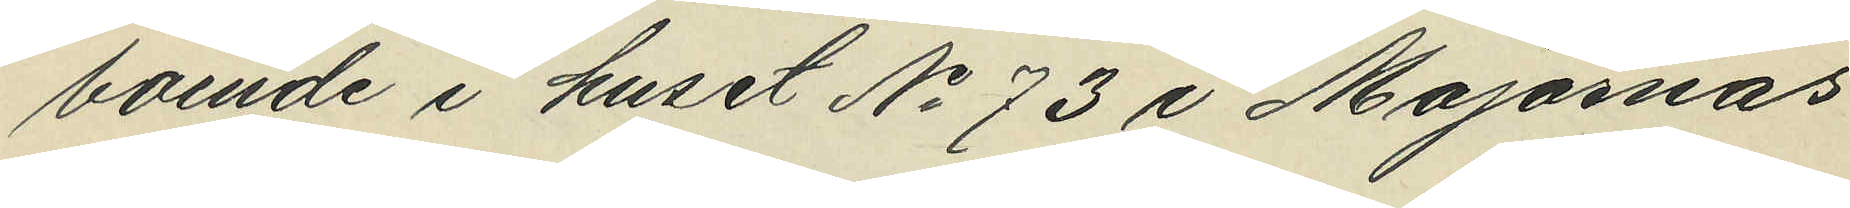boende i huset No 73 i Majornas
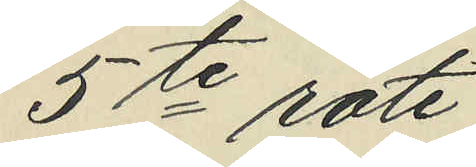5te rote.
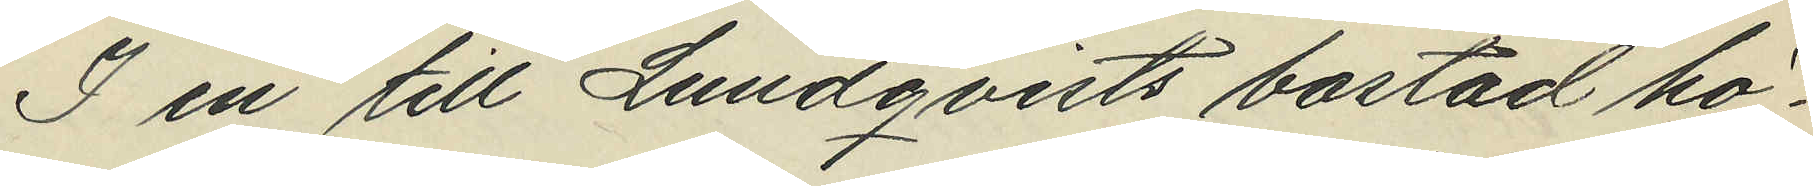I en till Lundqvists bostad hö¬
